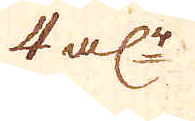4 al:r
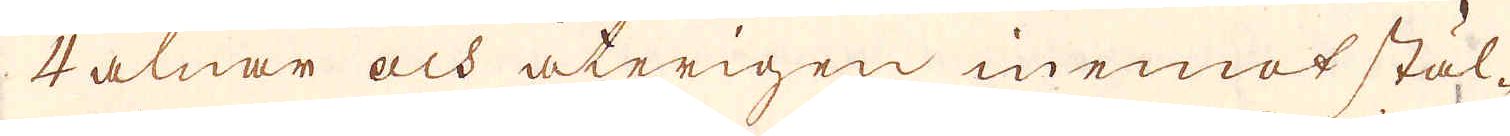4 alnar och återigen inemot stäl-
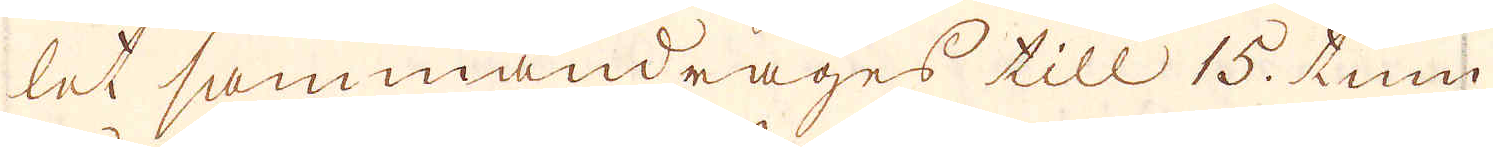let sammandrages till 15. tum
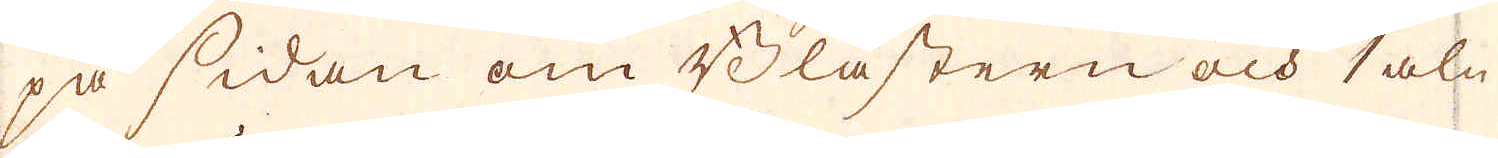på sidan om Blästern och 1 aln-
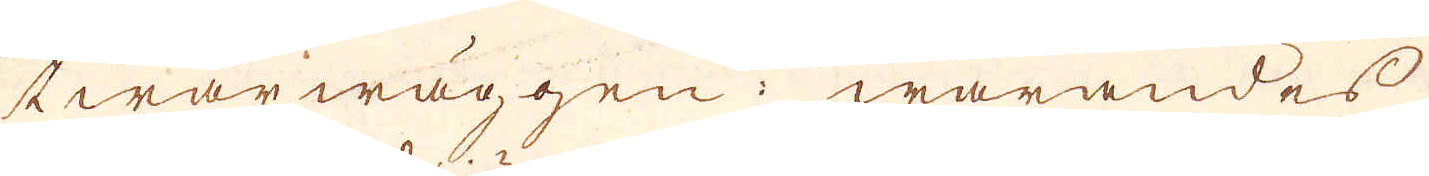twärwäggen; warandes
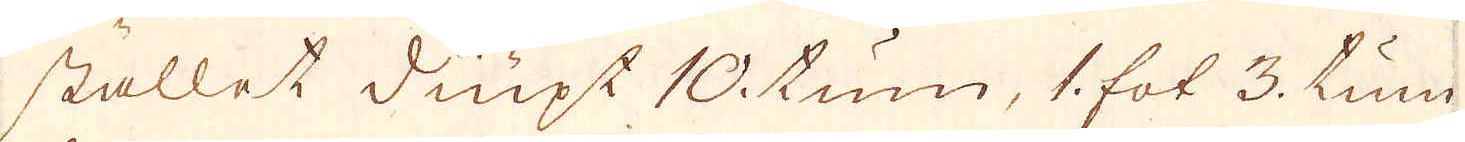stället diupt 10 tum, 1 fot 3. tum
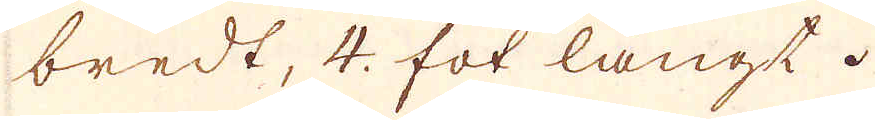bredt, 4. fot långt.
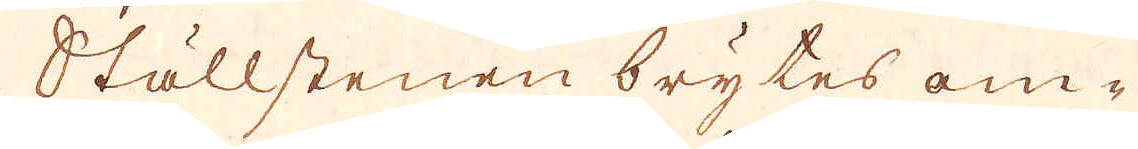Ställstenen brytes om-
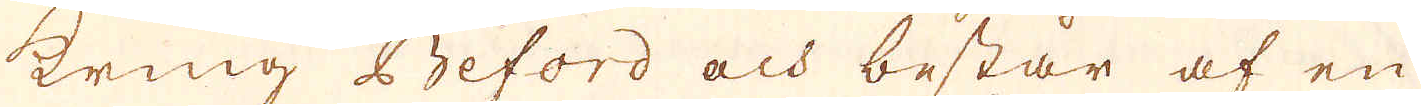kring Beford och består af en
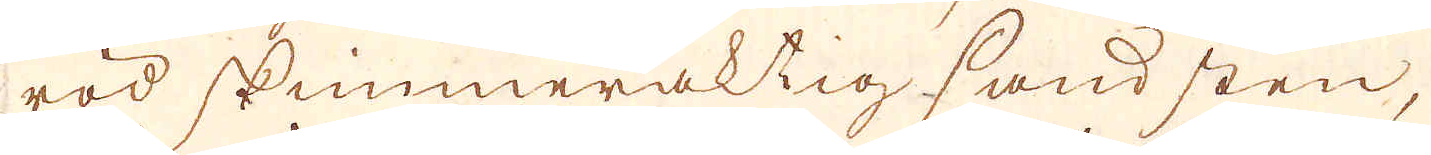röd skimmeraktig sandsten,
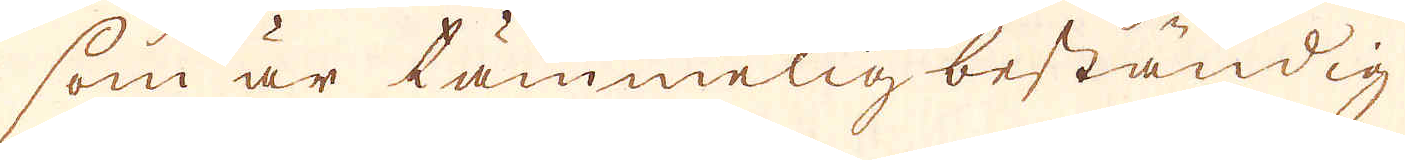som är tämmelig beständig
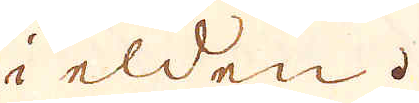i elden.
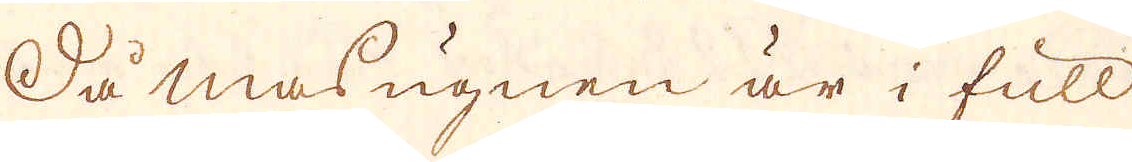Så masugnen är i full
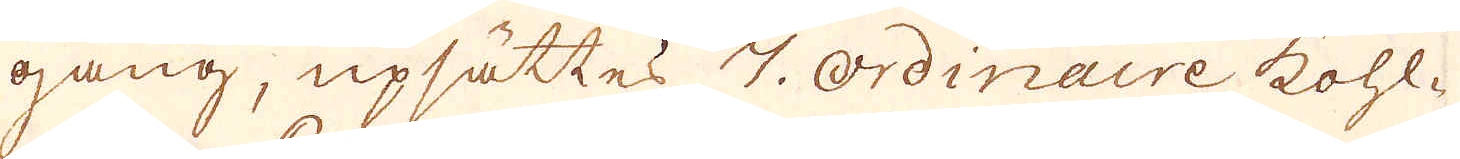gång, upsättes 7. ordinaire kohl-
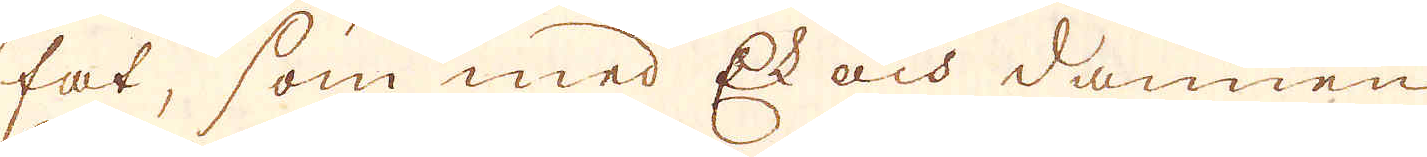fat, som med Ek och dammen
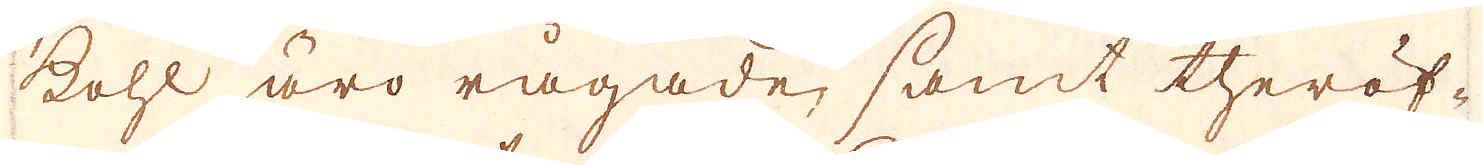kohl äro rågade, samt theröf-
